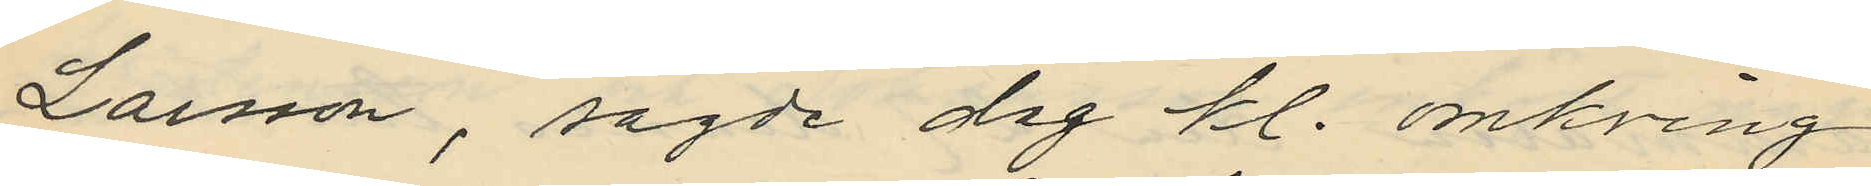Larsson, sagde dag kl. omkring
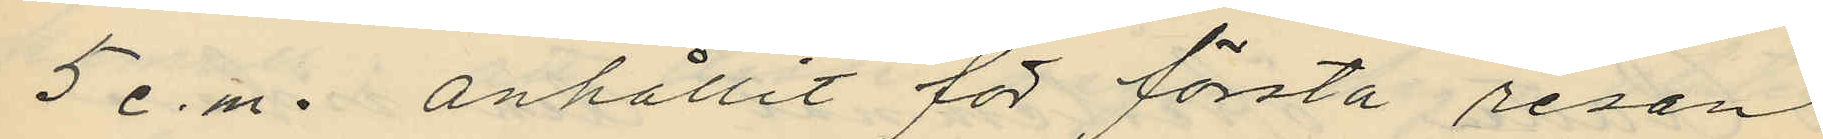5 e.m. anhållit för första resan
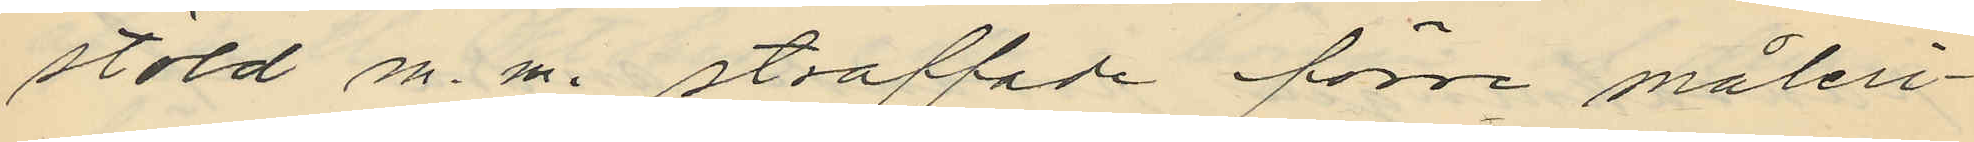stöld m. m. straffade förre måleri¬
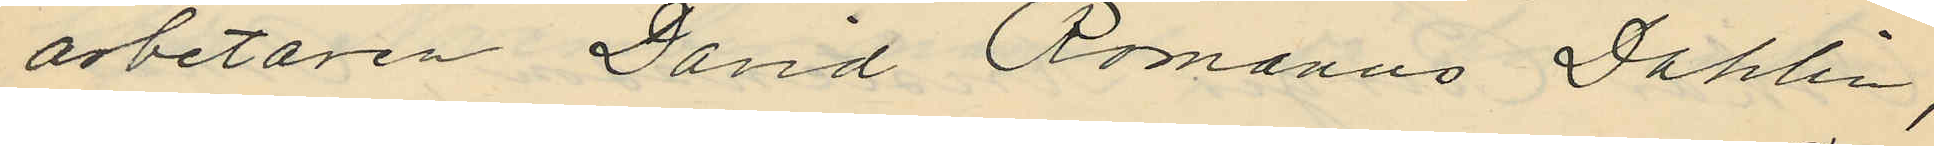arbetaren David Romanus Dahlin,
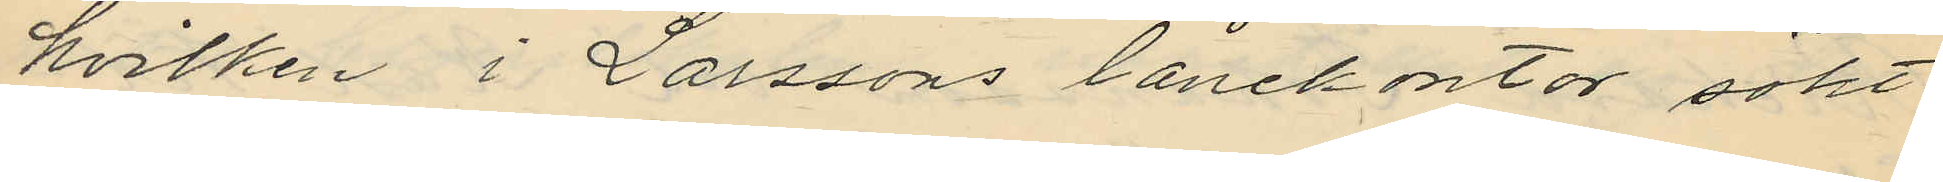hvilken i Larssons lånekontor sökt
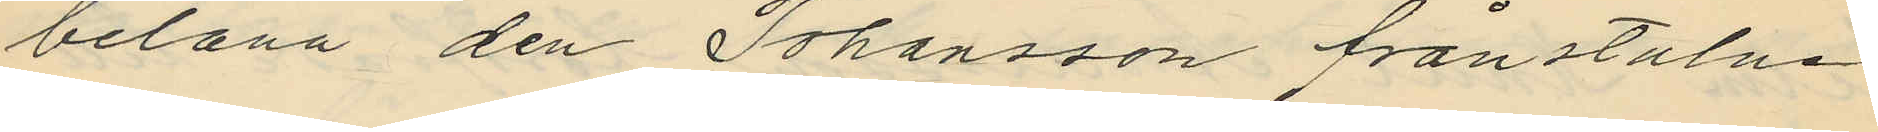belåna den Johansson frånstulne
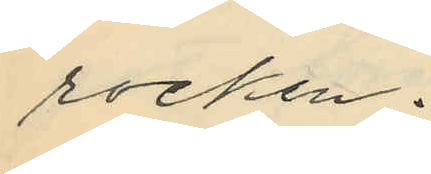rocken.
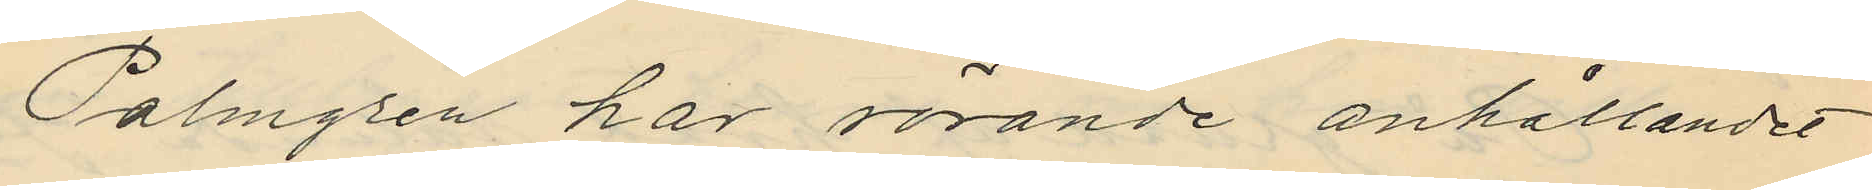Palmgren har rörande anhållandet
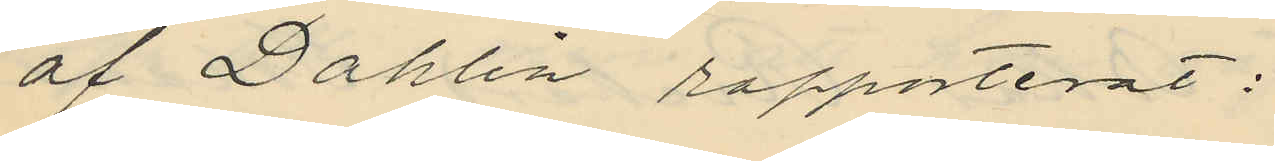af Dahlin rappoterat:
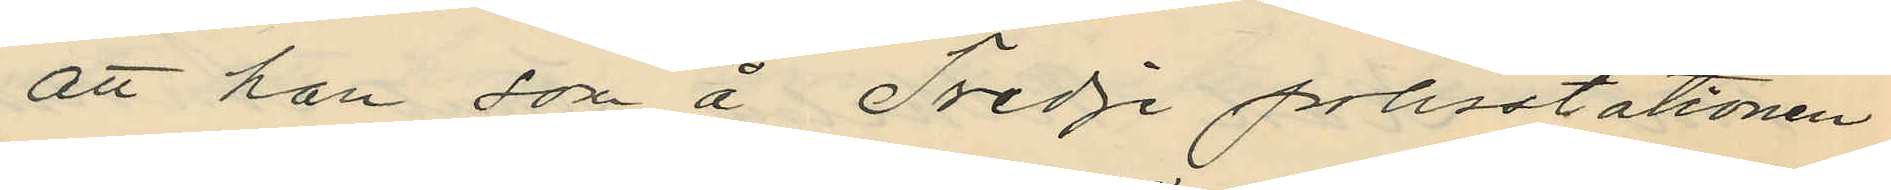att han som å Tredje polisstationen
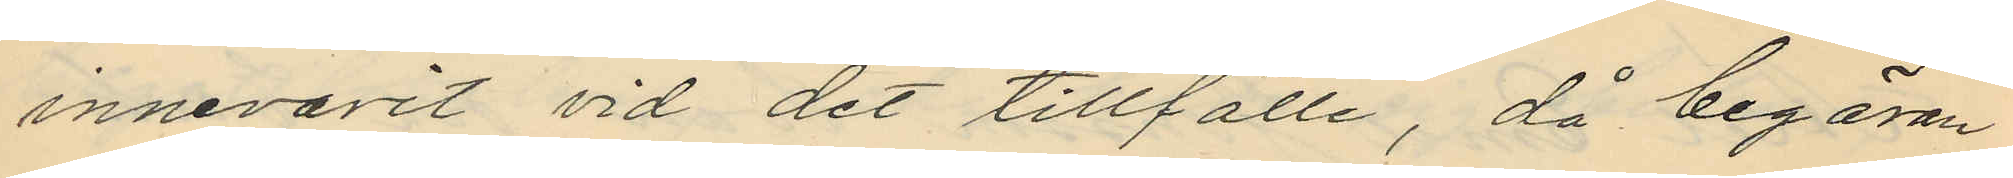innevarit vid det tillfälle, då begäran
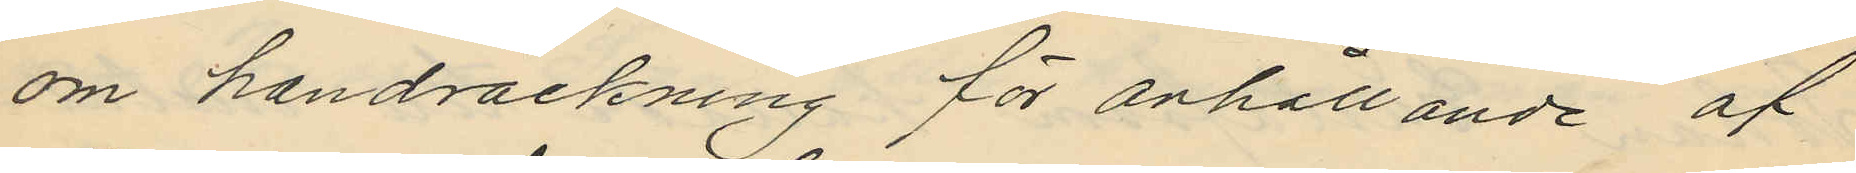om handräckning för anhållande af
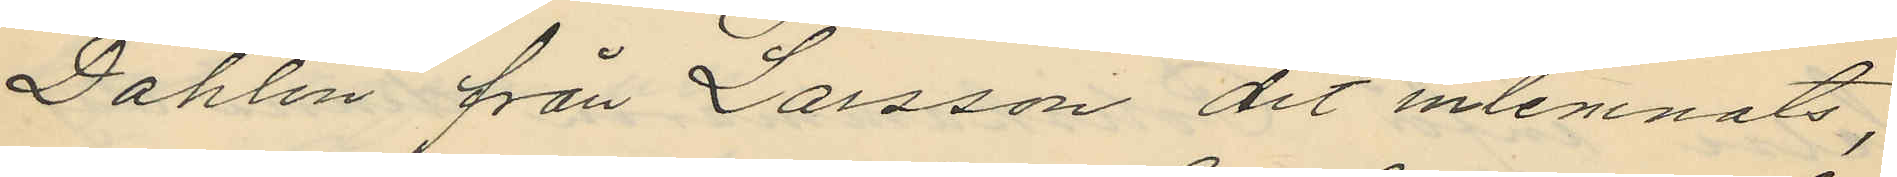Dahlin från Larsson dit inlemnats,
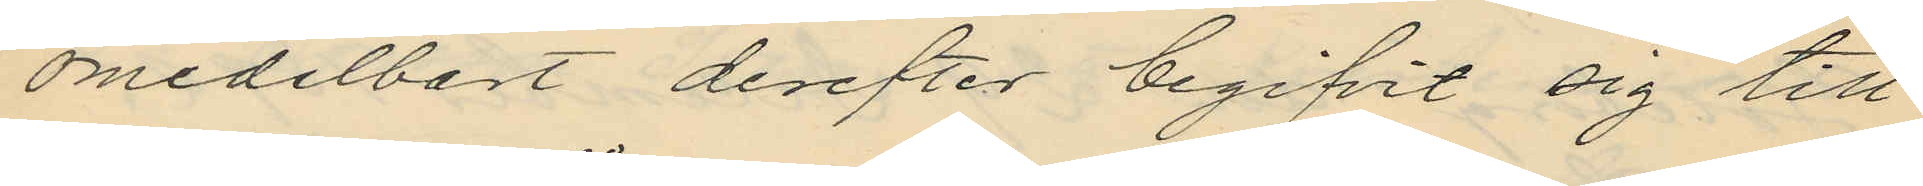omedelbort derefter begifvit sig till
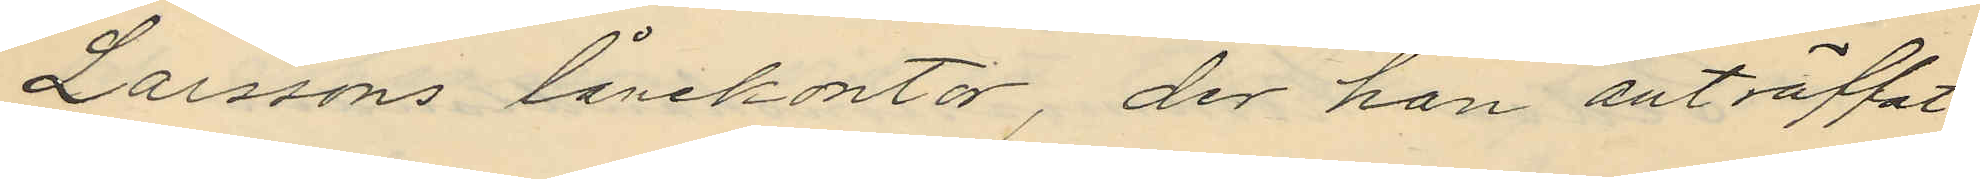Larssons lånekontor, der han anträffat
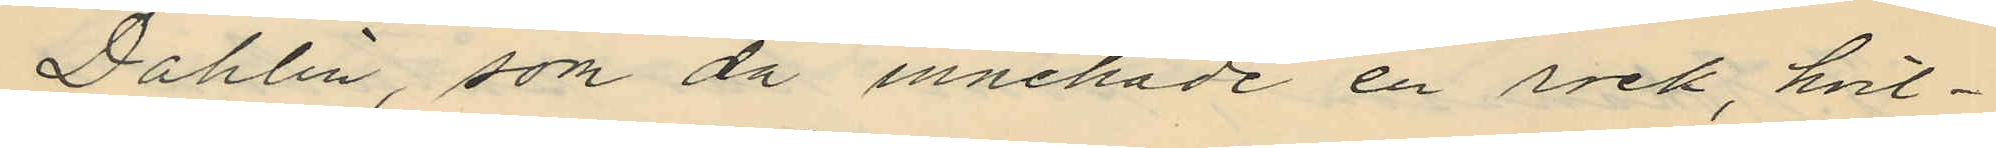Dahlin, som då innehade en rock, hvil¬
